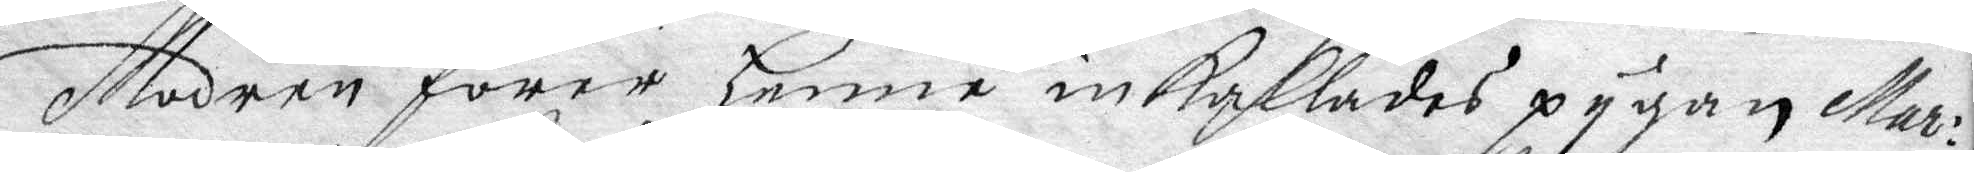Modren förer henne inkallades pygan Mar¬
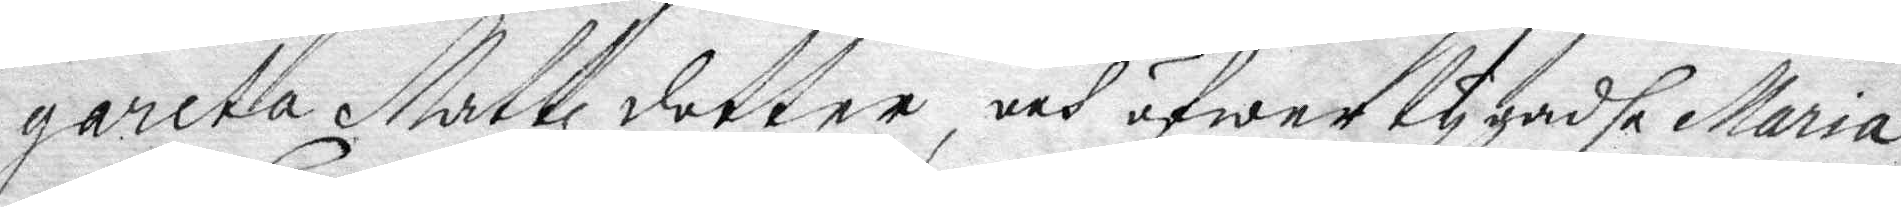gareta Mattz dotter, och öfwertygadhe Maria
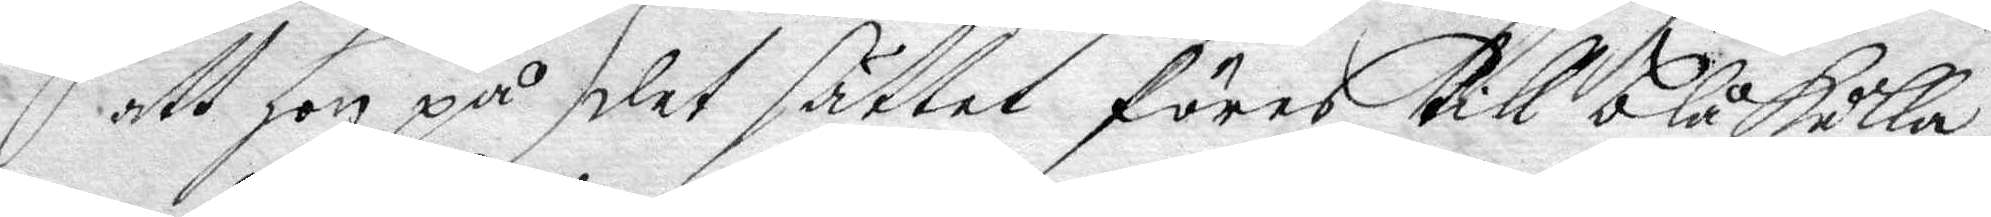att hon på det sättet föres till blåkulla
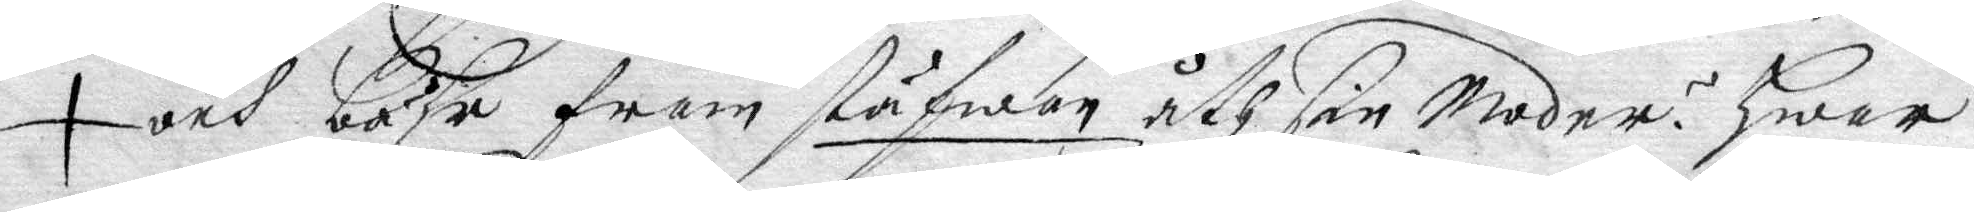och båhr fram stäfwan åth sin Moder? hwar
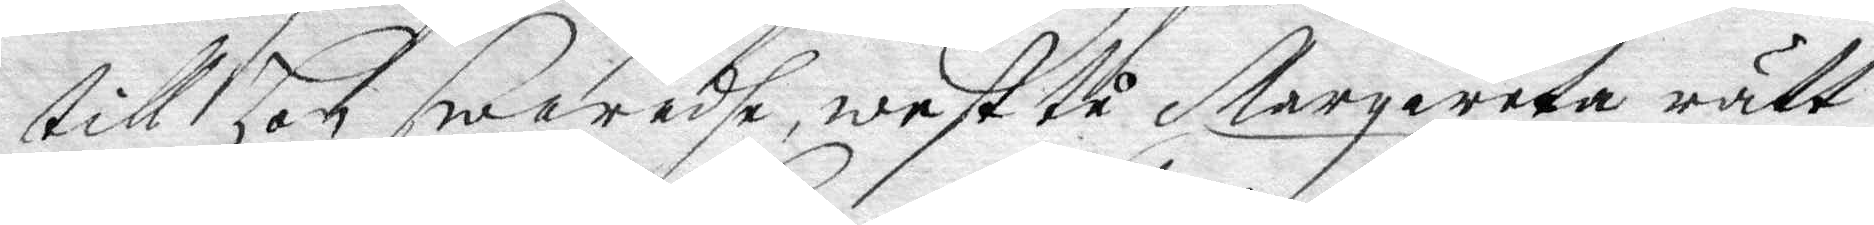till hon swaradhe west tå Margareta rätt¬
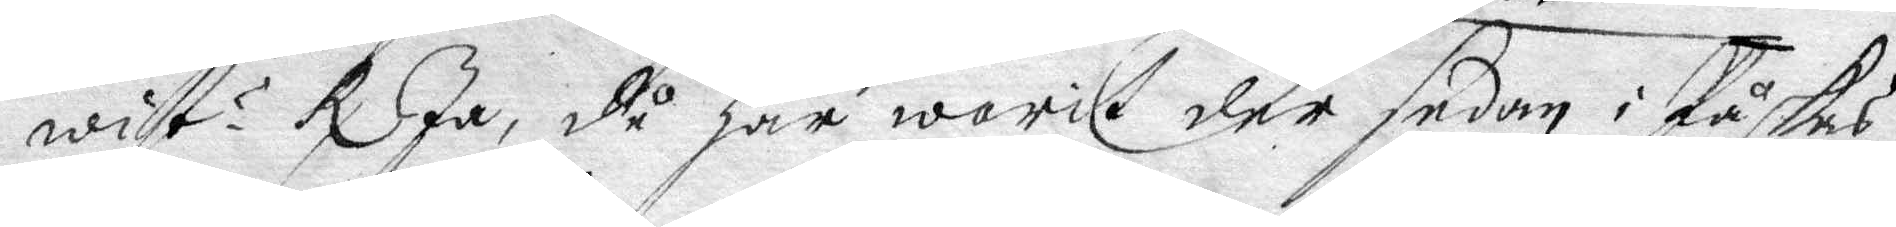wist? Rx Ja, då har warit der sedan i Påskas,
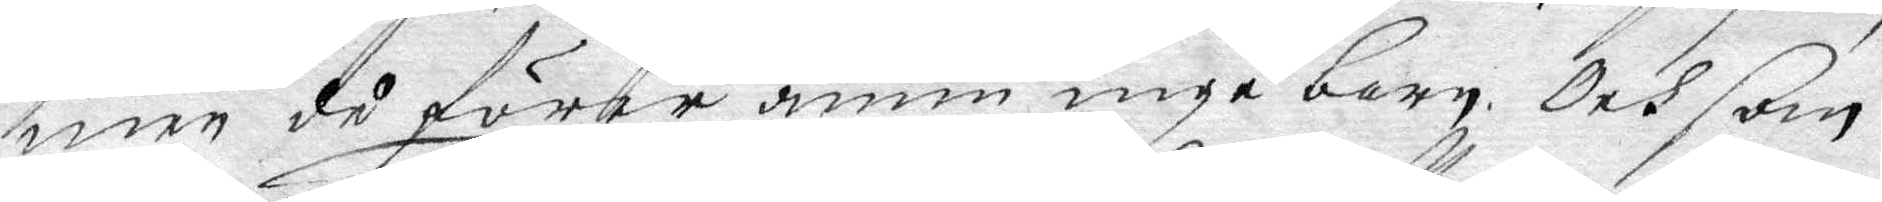men då förer ännu inga barn. Och som
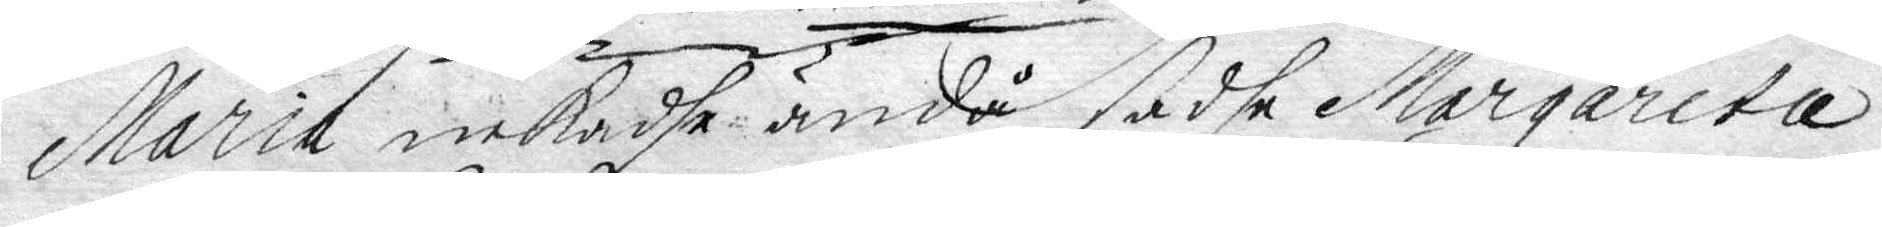Maria nekadhe ändå sadhe Margareta
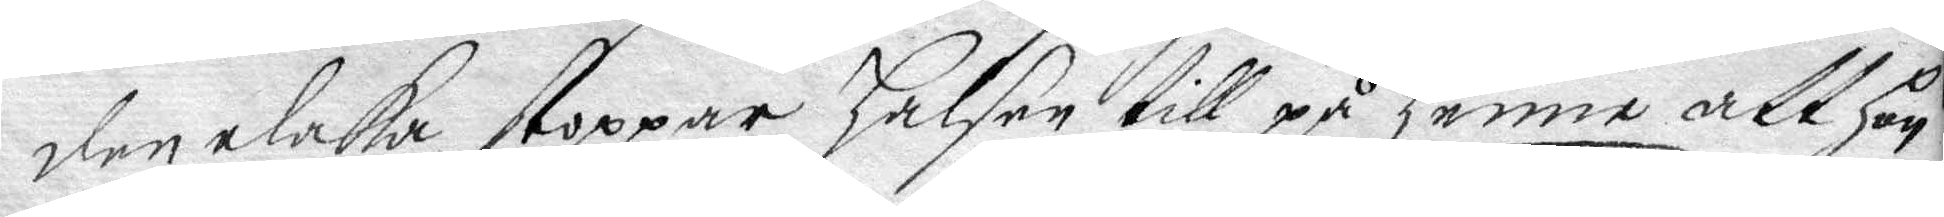den elaka stoppar halsen till på henne att hon
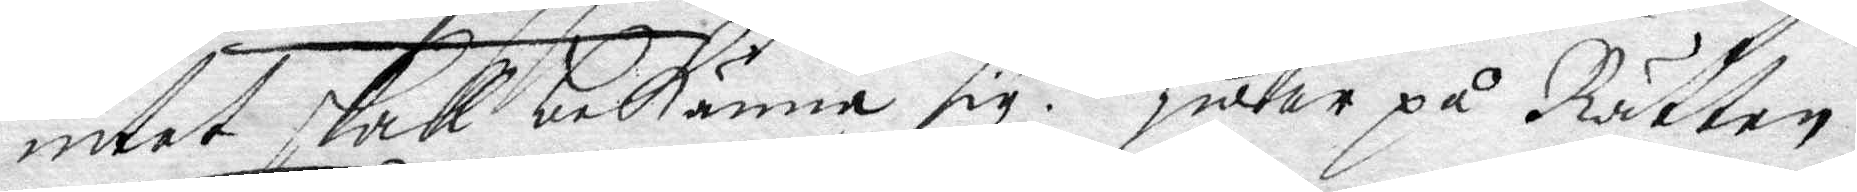intet skall bekänna sig. Hwar på Rätten
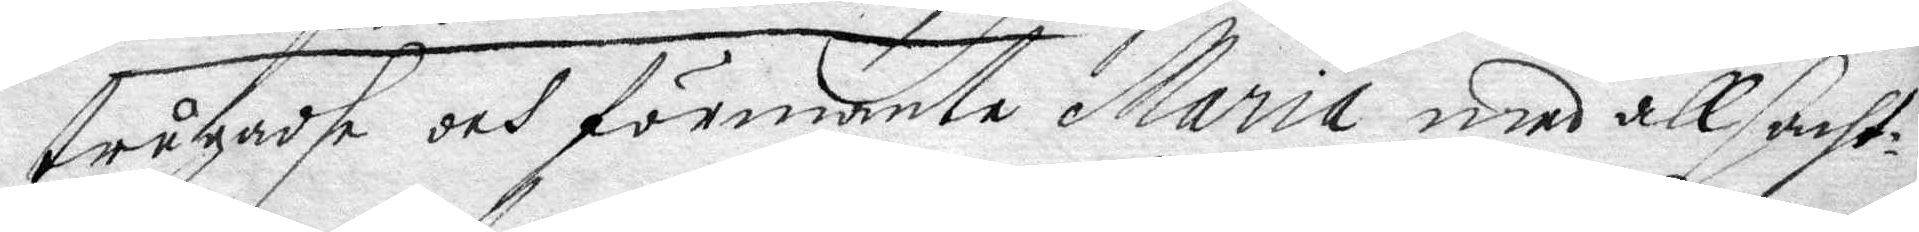trugadhe och förmante Maria med all sacht¬
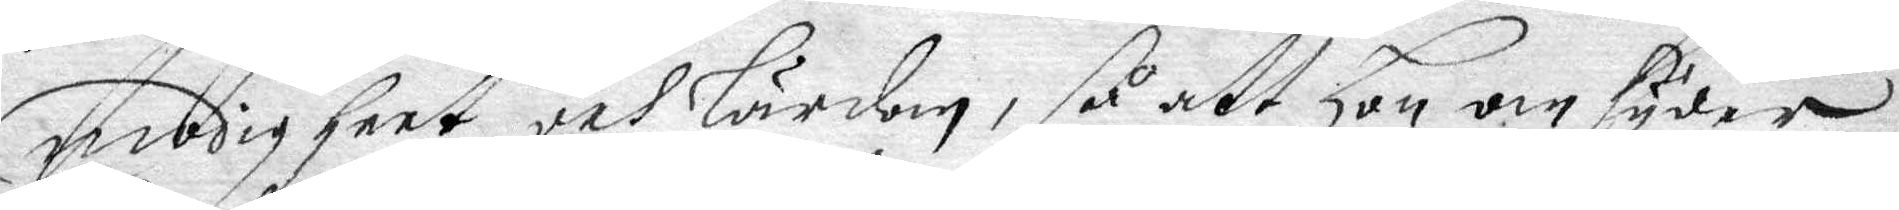modigheet och lärdom, så att hon omsyder
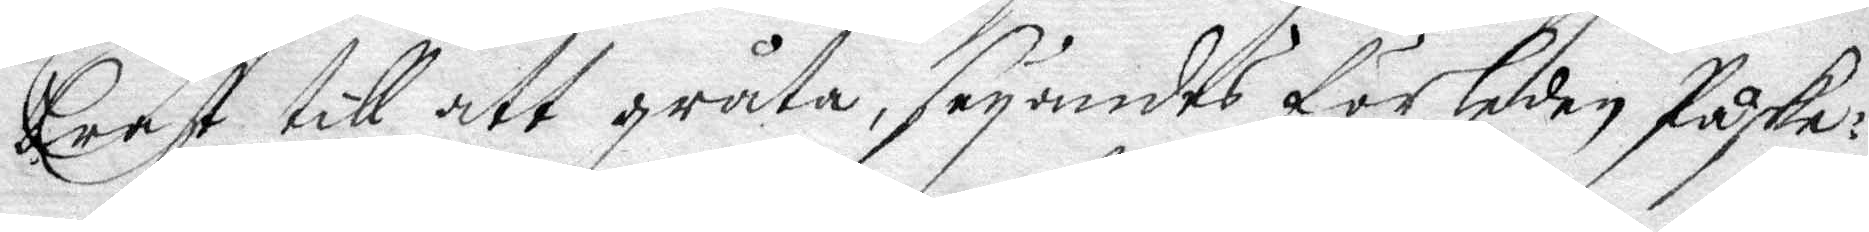brast till att gråta, seyandes förleden Påske¬
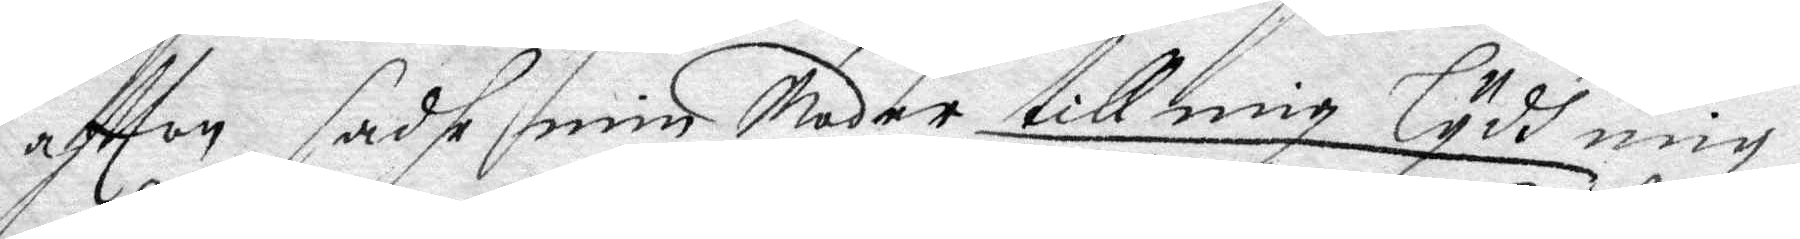aftton sadhe min Moder till mig lydh mig
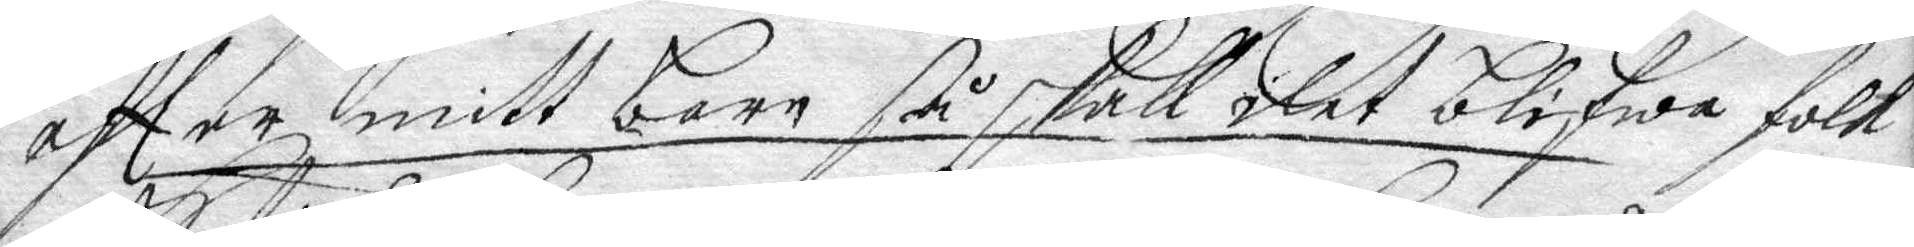eftter mitt barn så skall det blifwa folk
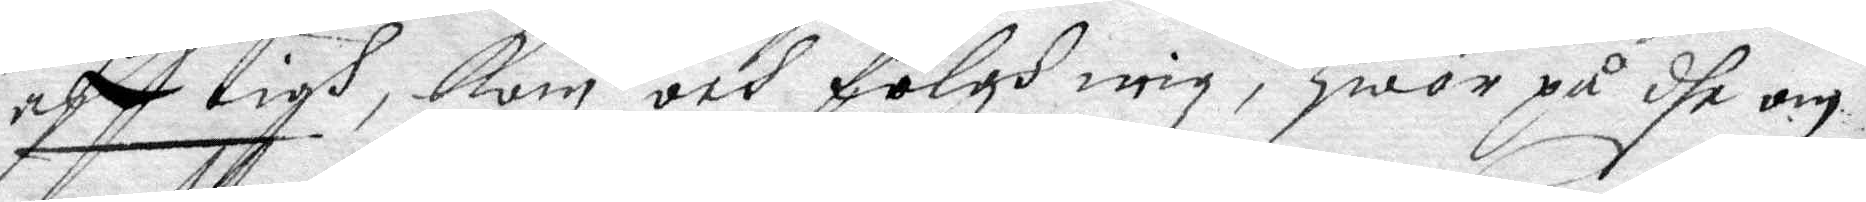aff tigh, kom och fölgh mig, hwar på dhe om
